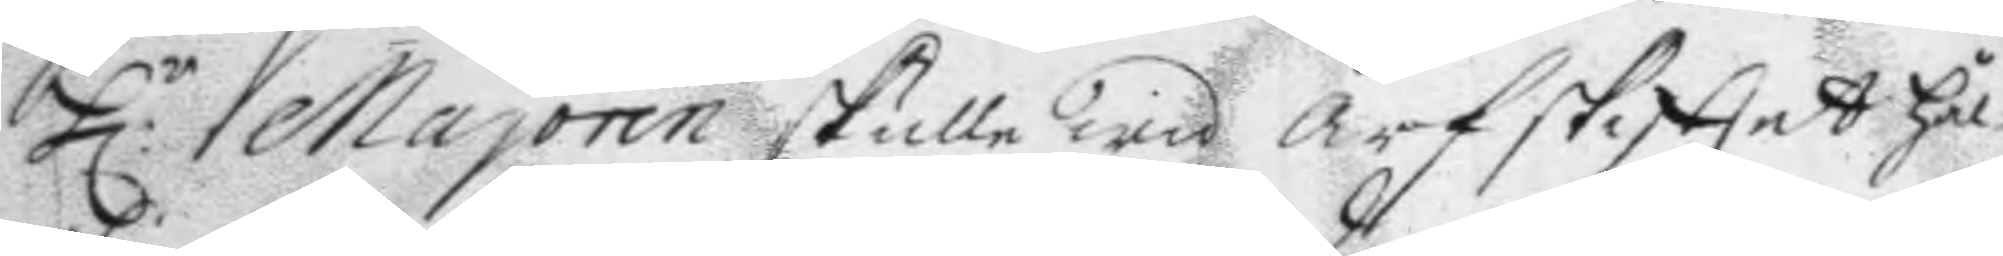H:r Majoren skulle wid Arfskifttet hål¬
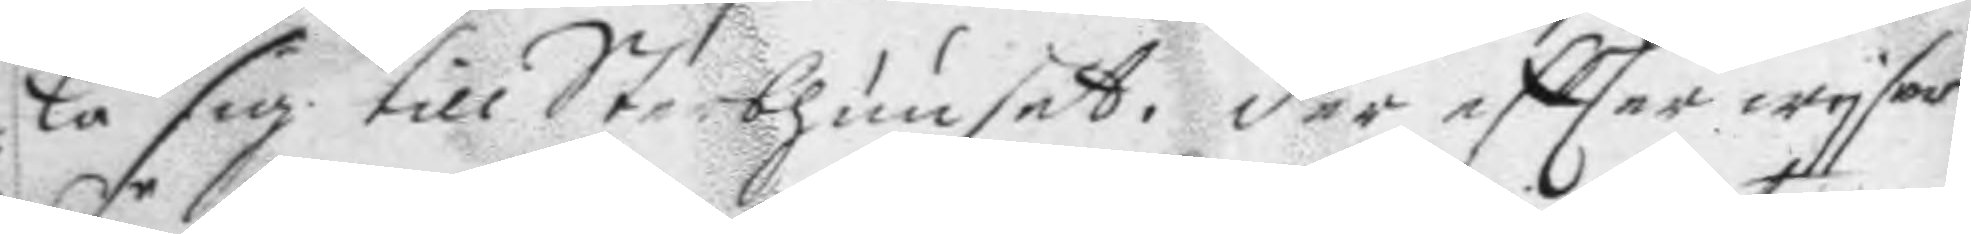lå sig till Sterbhuuset. der eftter wysar
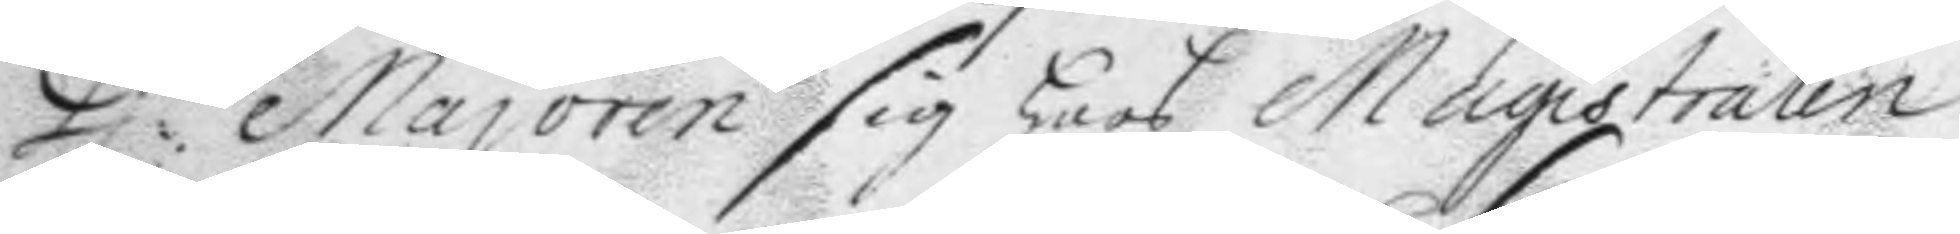H:r Majoren sig hoos Magistraten
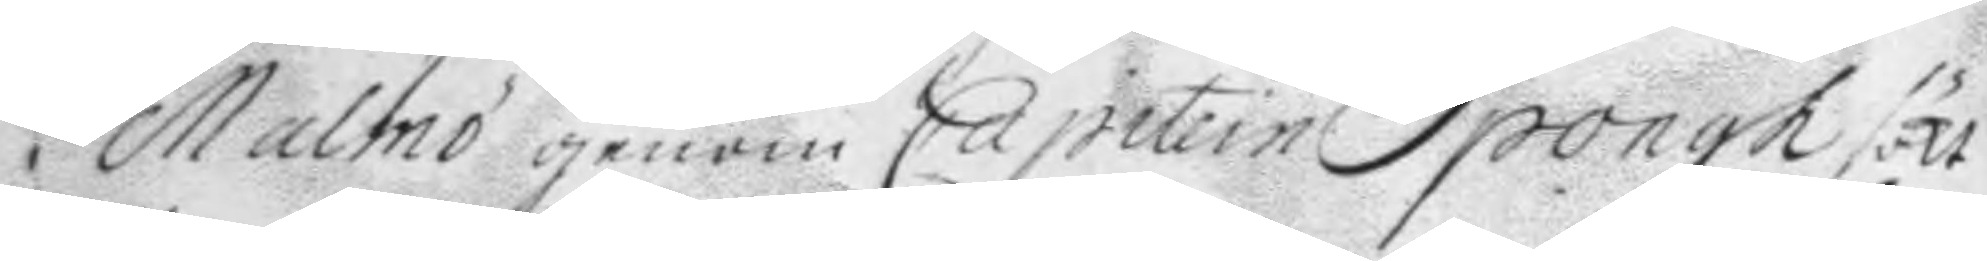i Malmö genom Capitein Spongh sökt
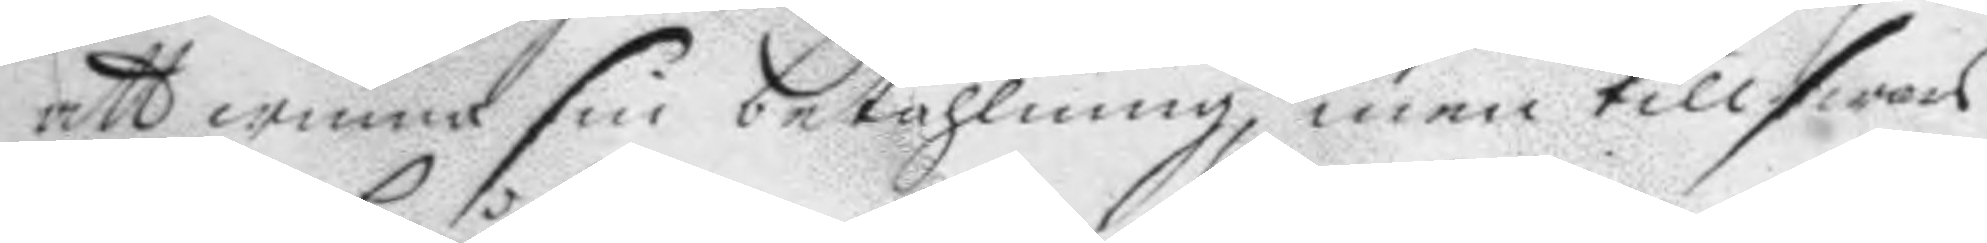att winna sin betahlning, men till swars
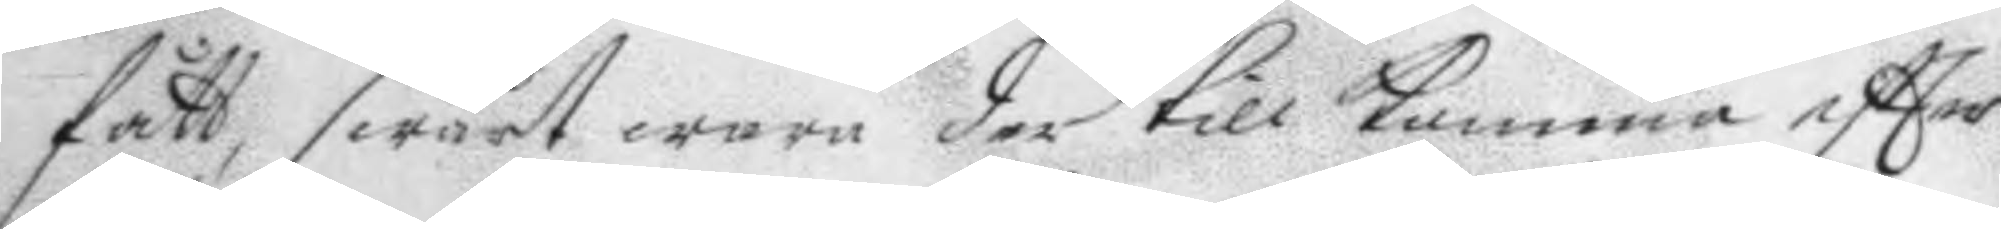fått, swårt wara der till komma eftter
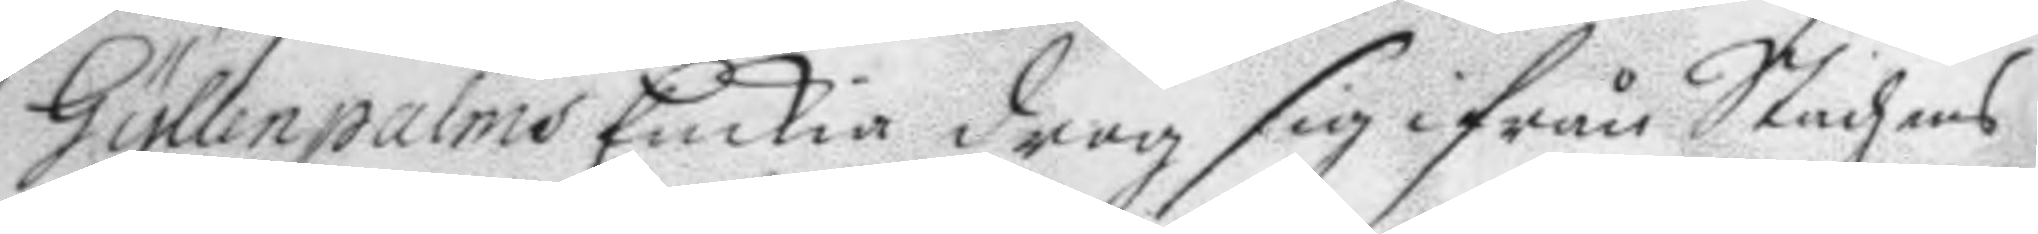Gyllenpalms Enkia drog sig ifrån Stadzens
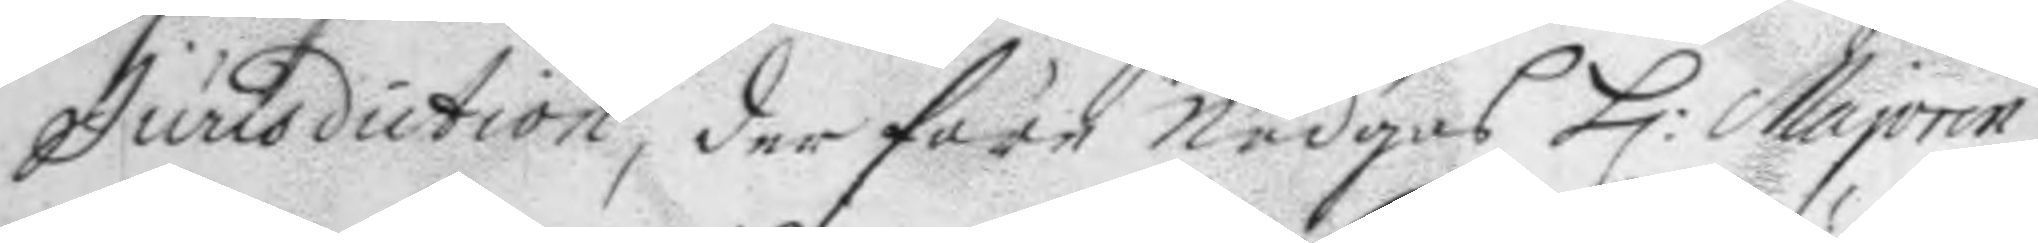Jurisdiction, der före Nödgas H: Majoren
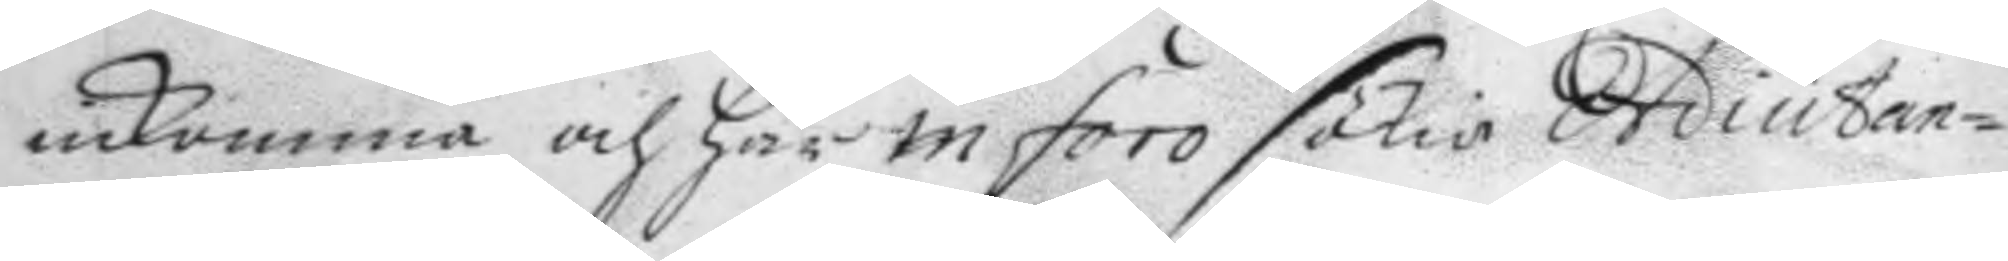inkomma och här in foro sökia Adiutan¬
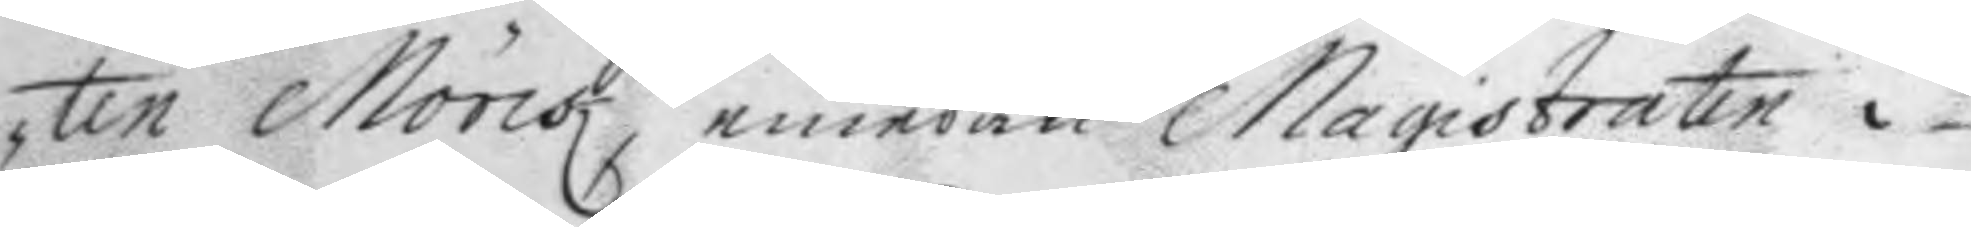ten Mönk emedan Magistraten i
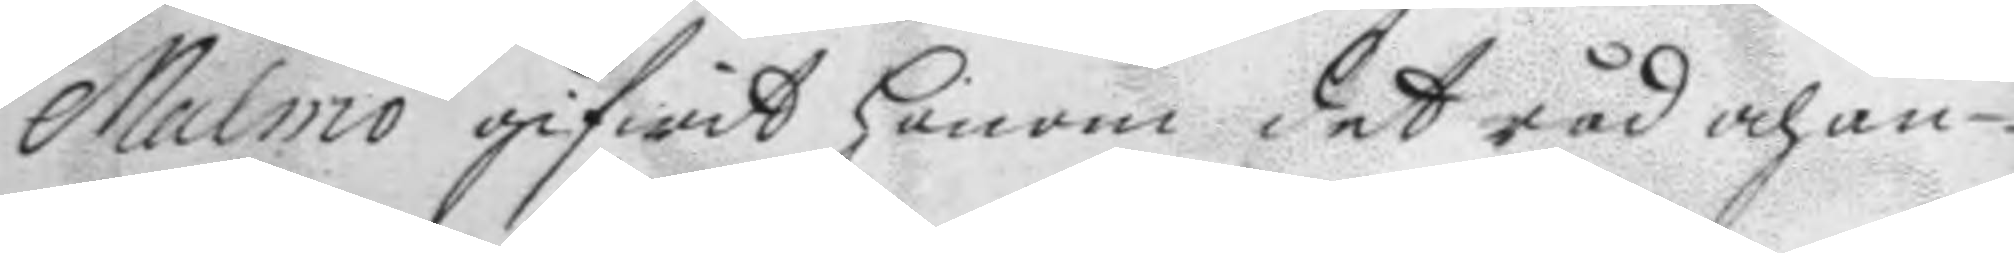Malmö gifwit honom det råd och an¬
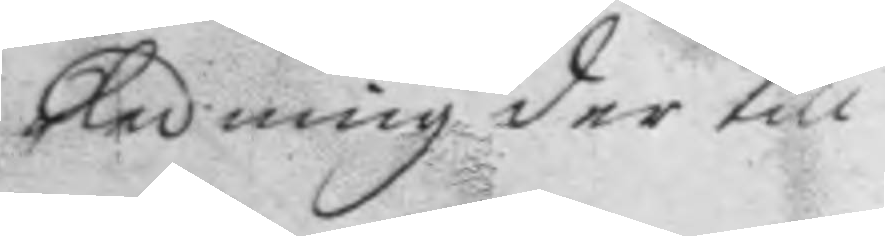ledning der till.
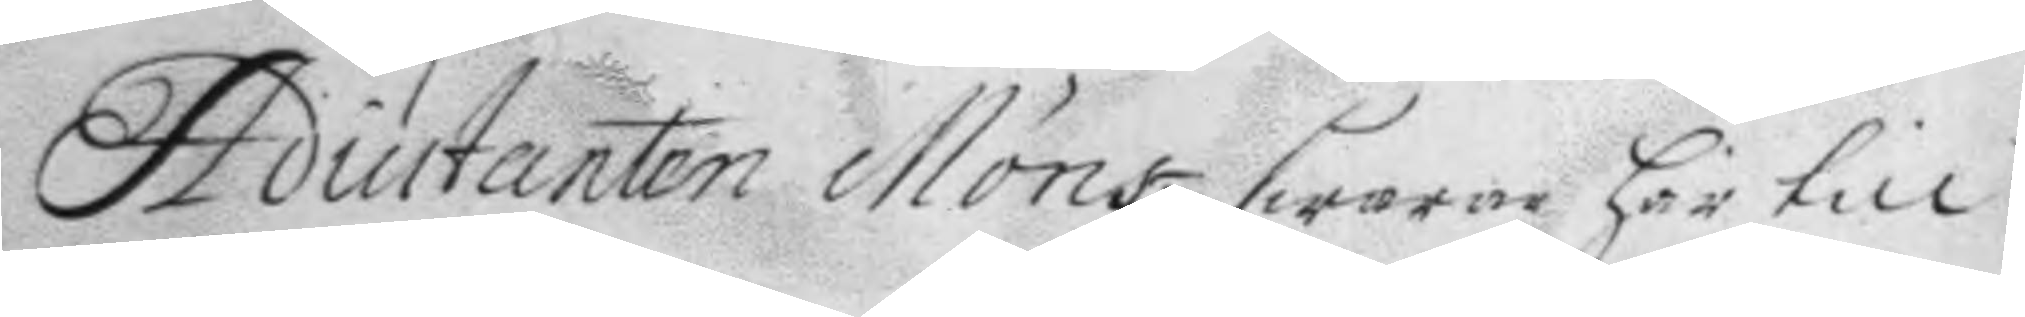Adiutanten Mönk swarar här till
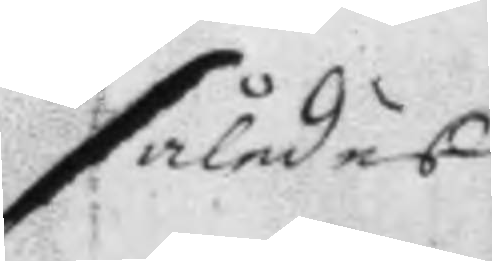således
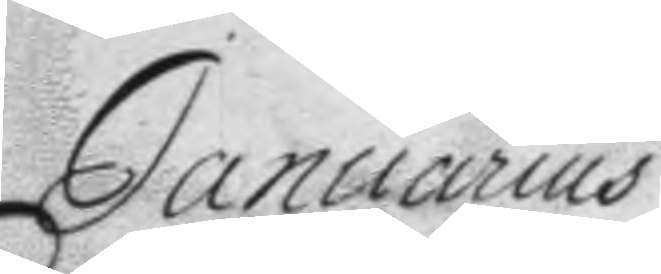Januarius
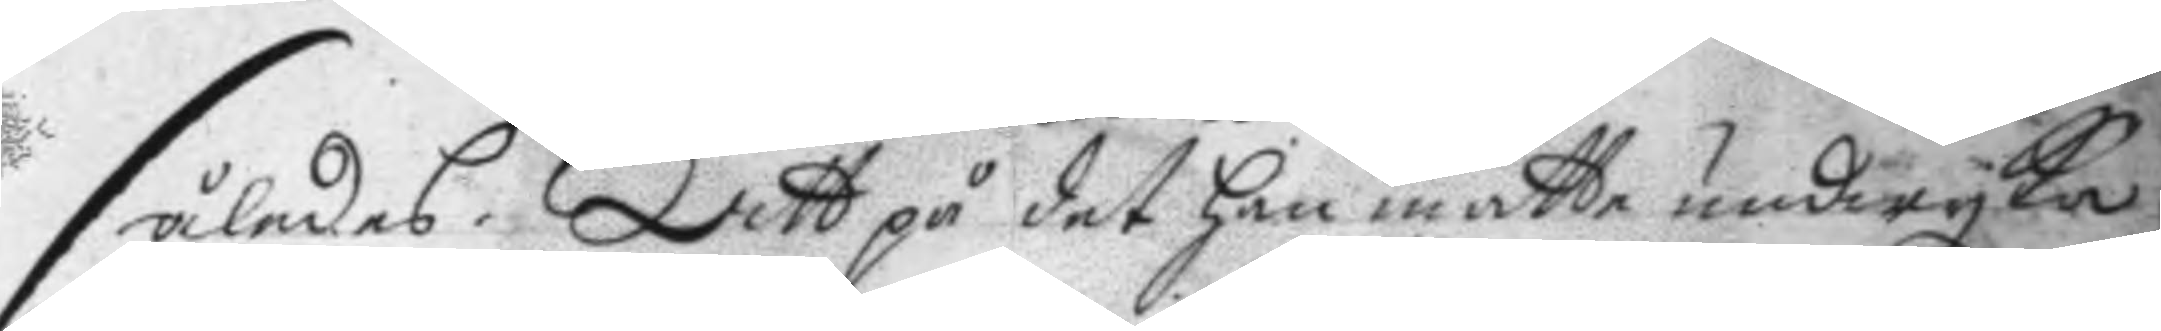således. Att på det han måtte undwyka
